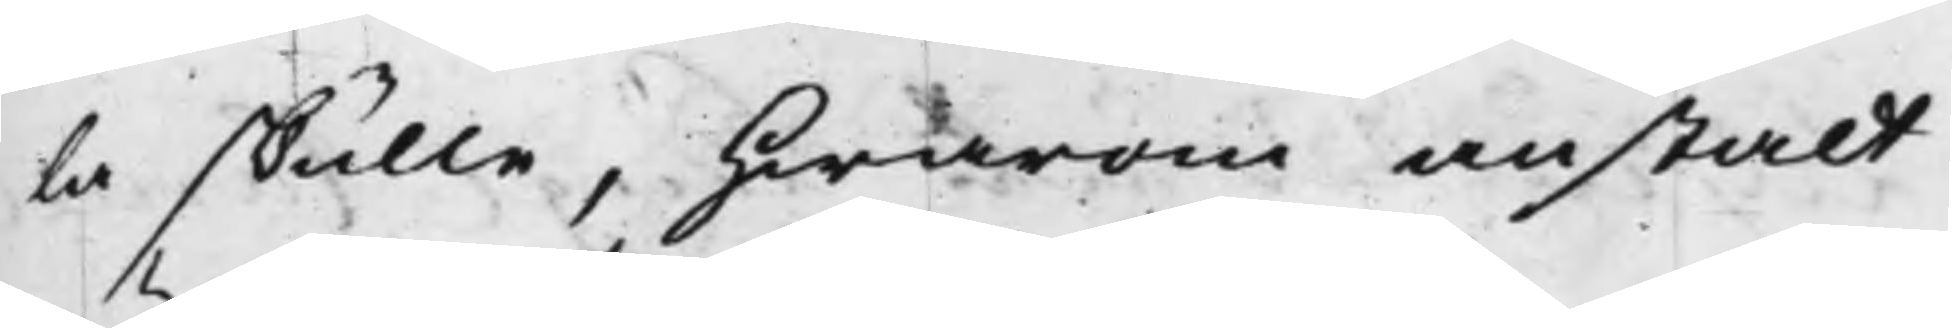la skulle, hwarom anstalt
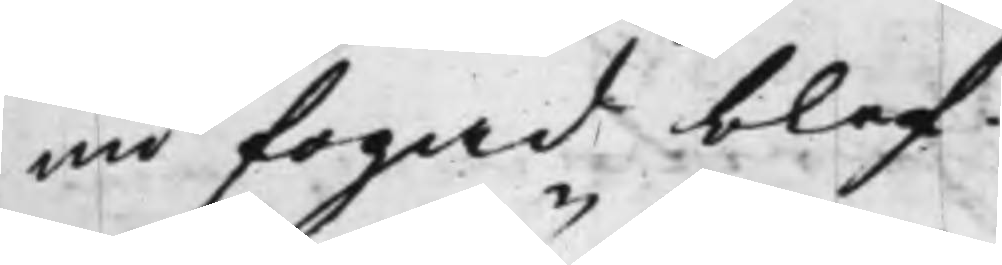nu fogad blef.
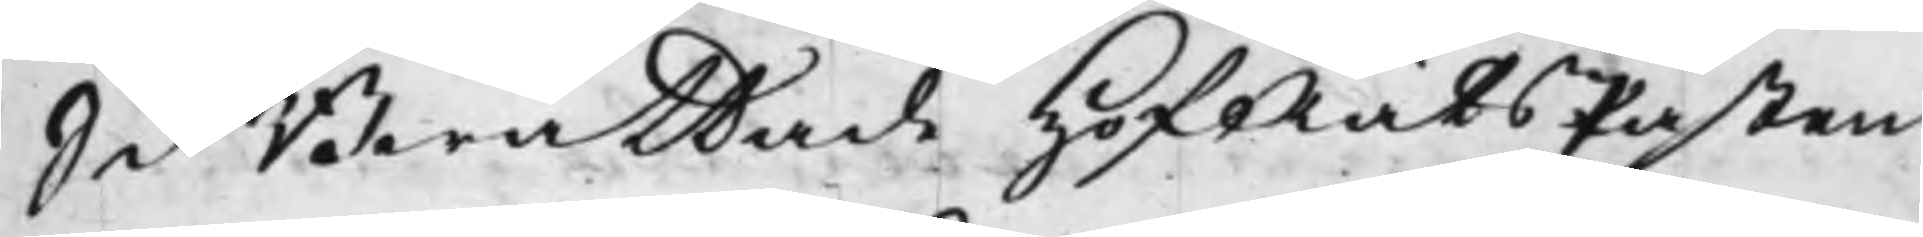S d Berättade HofRätsPåsten
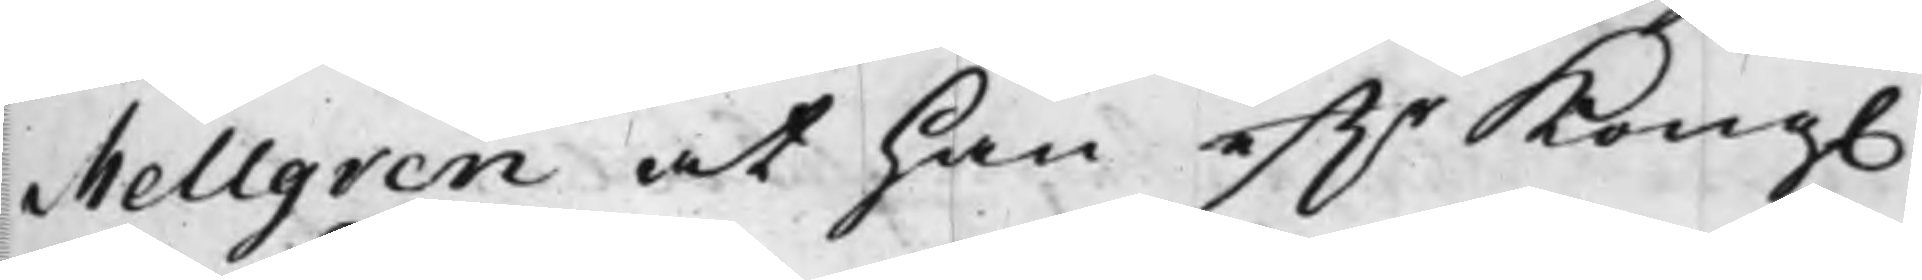Mellgren at han efftr Kong.
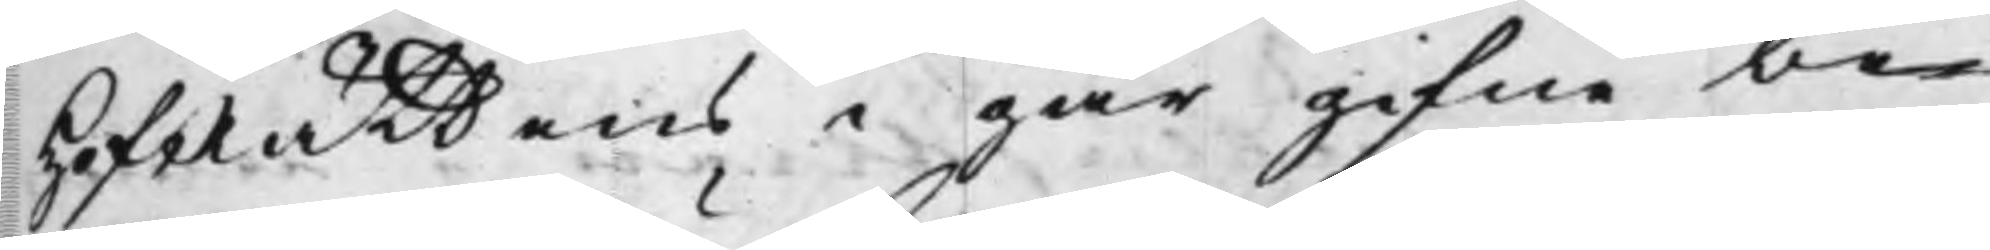HofRättens i går gifne be¬
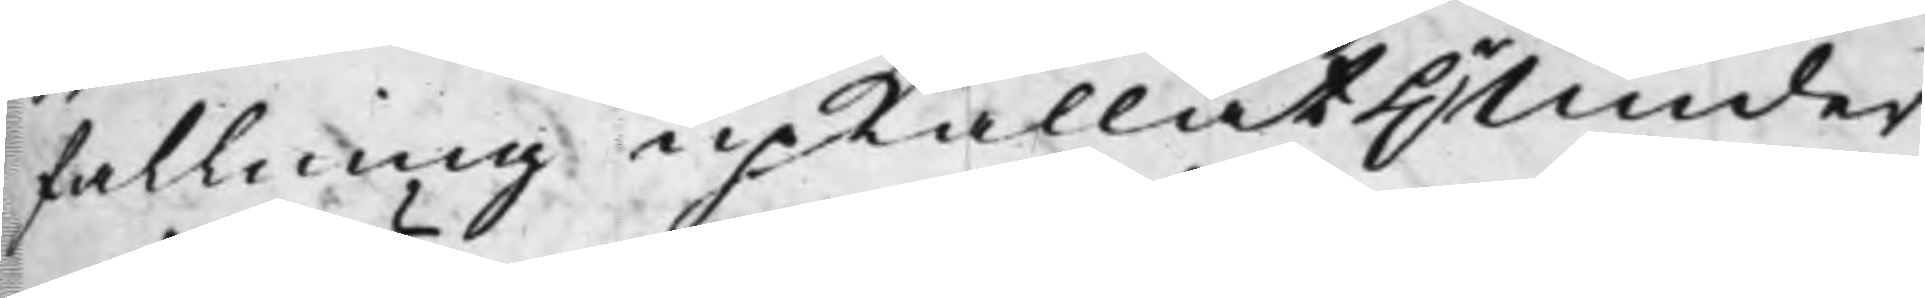fallning upkallat Hr Under¬
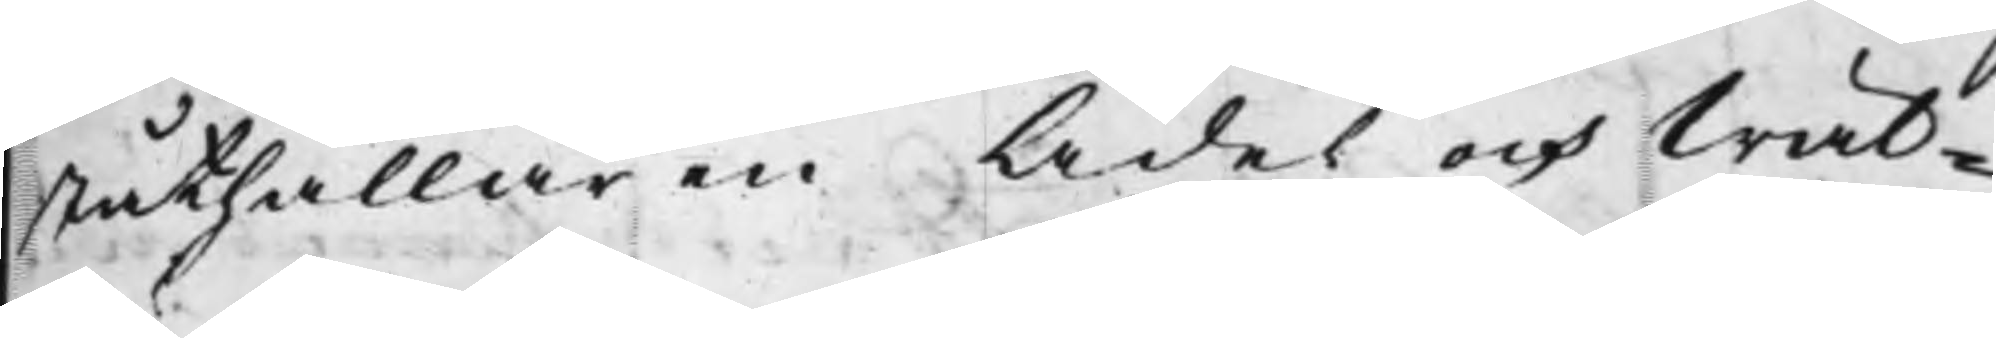ståthållaren Ädel och Wäl¬
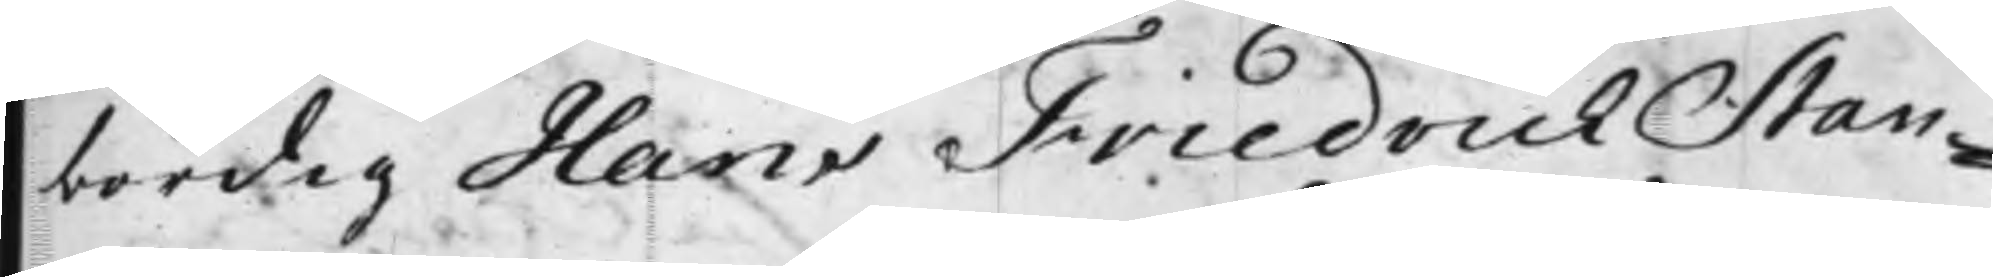bördig Hans Friedrich Stan¬
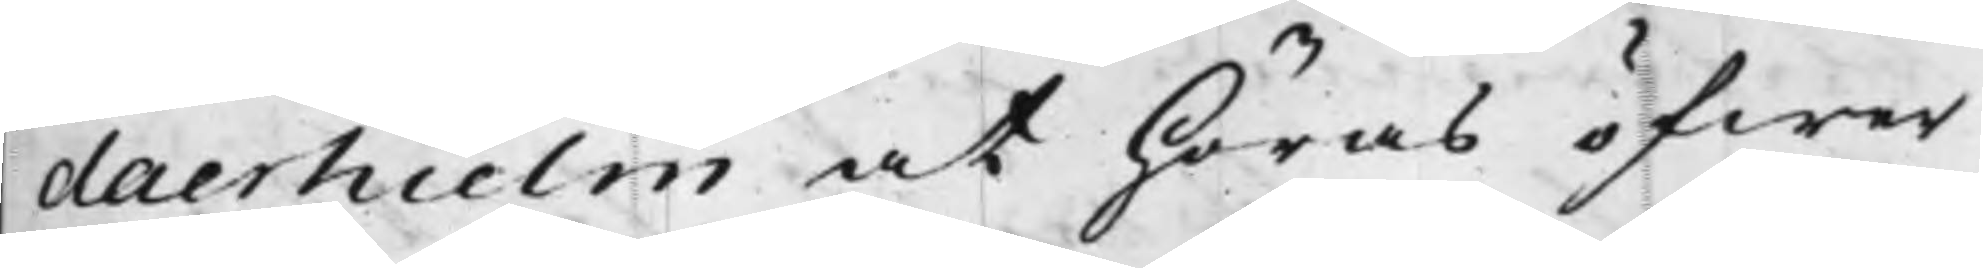daerhielm at höras öfwer
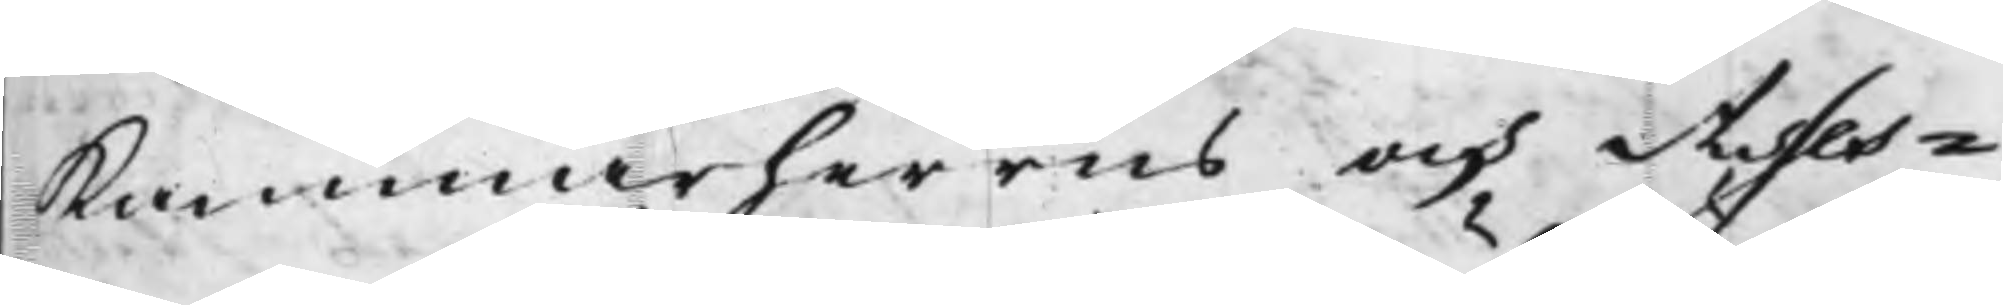Kammarherrns och Asses¬
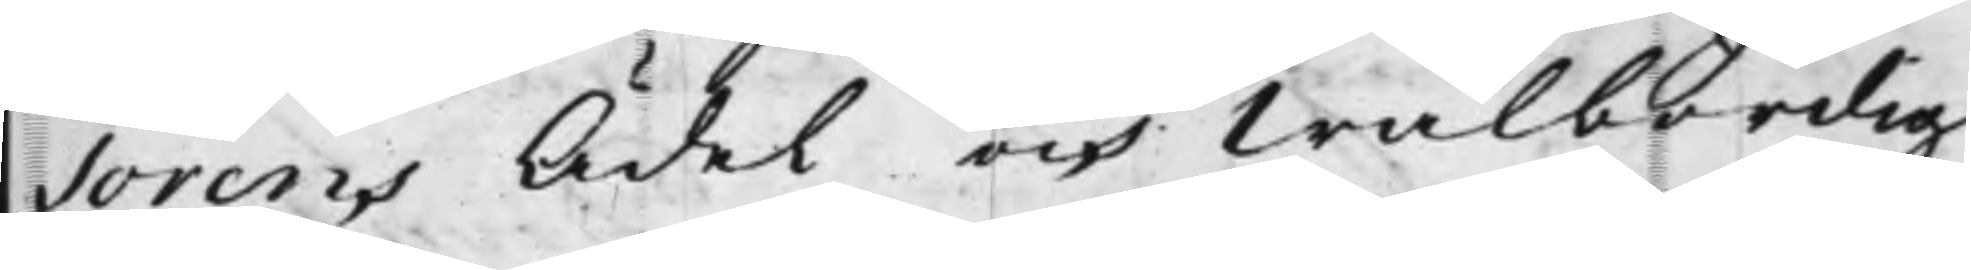sorens Ädel och Wälbördig
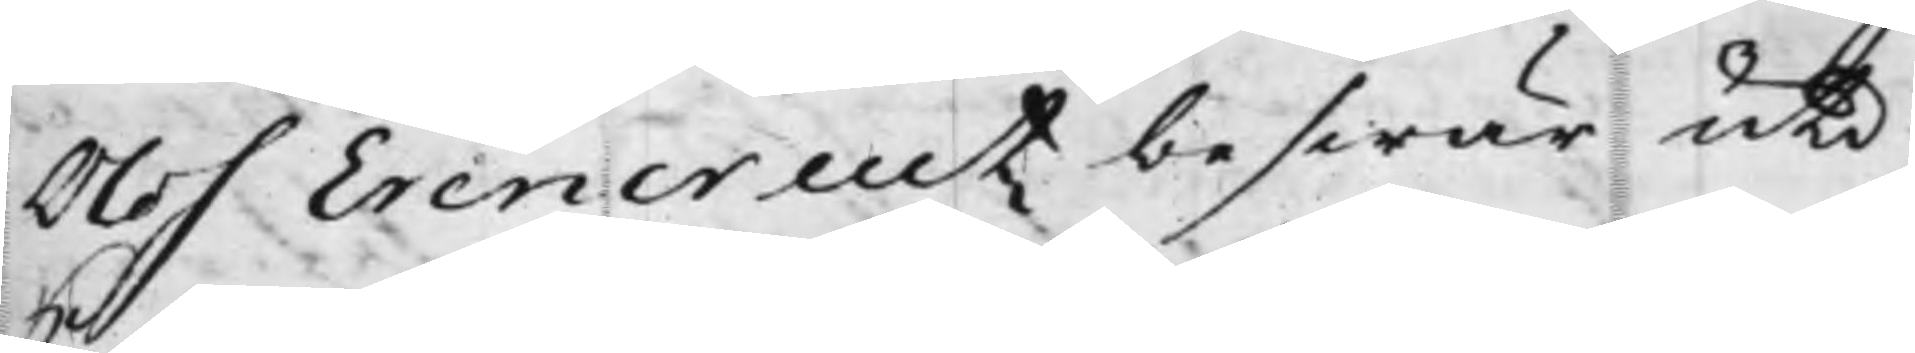Olof Erencreutz beswär uti
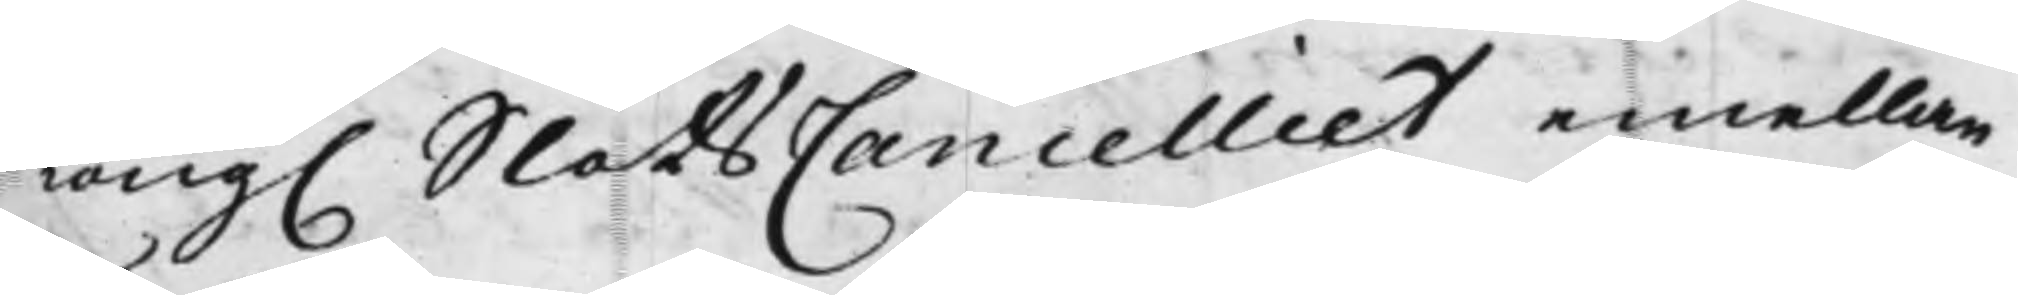Kong. SlotsCancelliet emellan
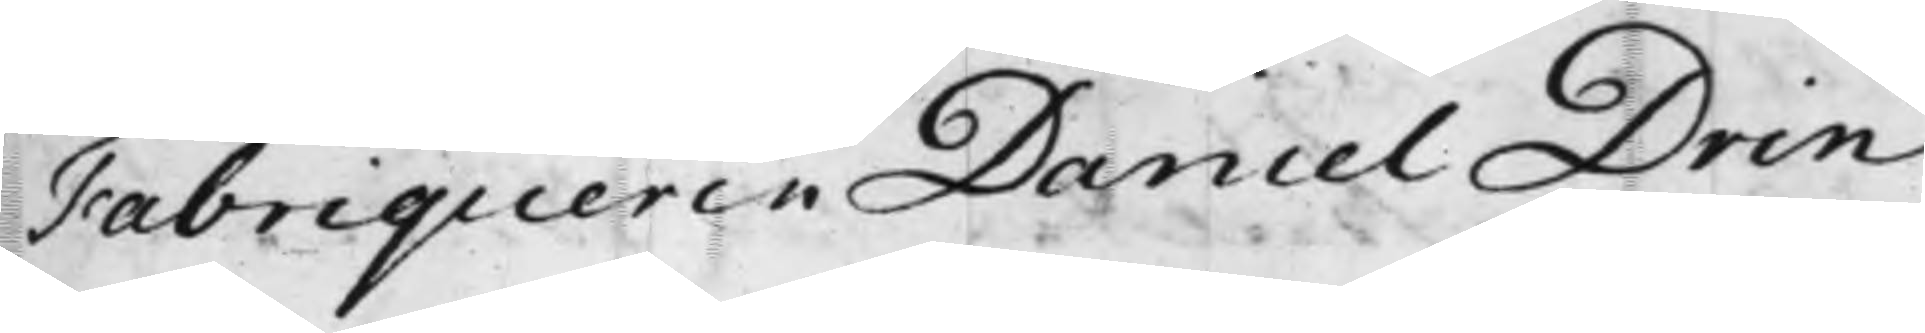Fabriqueren Daniel Drin¬
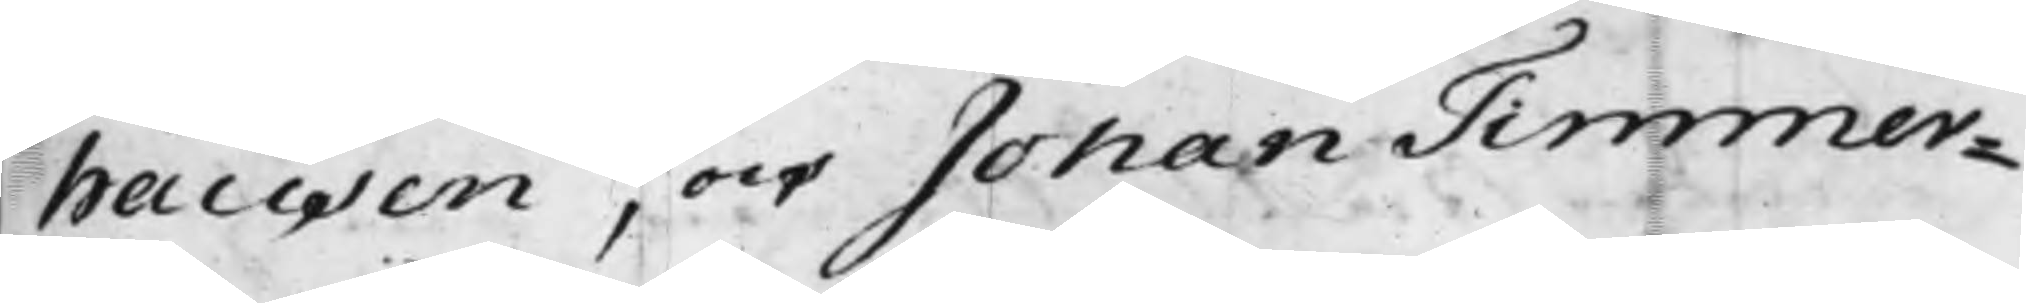hausen, och Johan Timmer¬
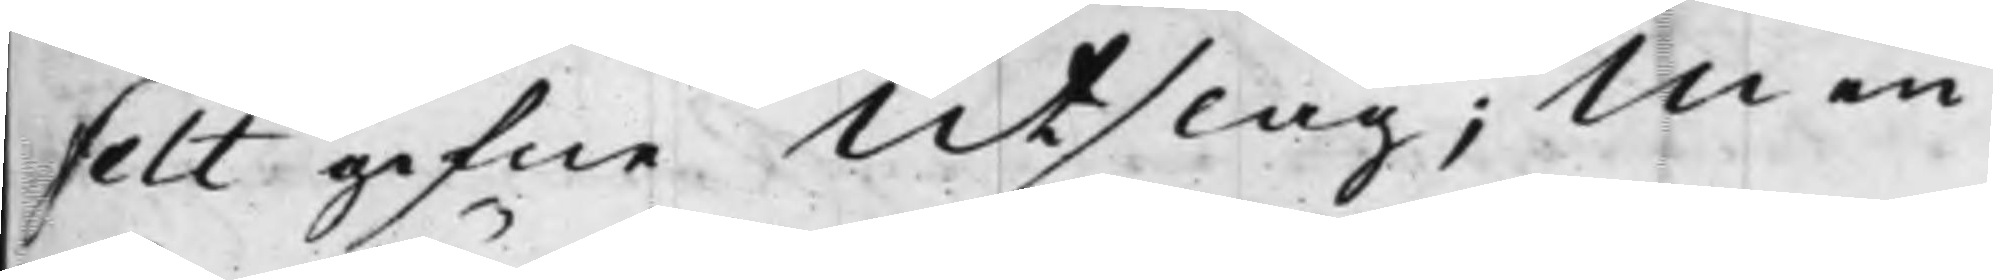felt gifne Utslag; Men
